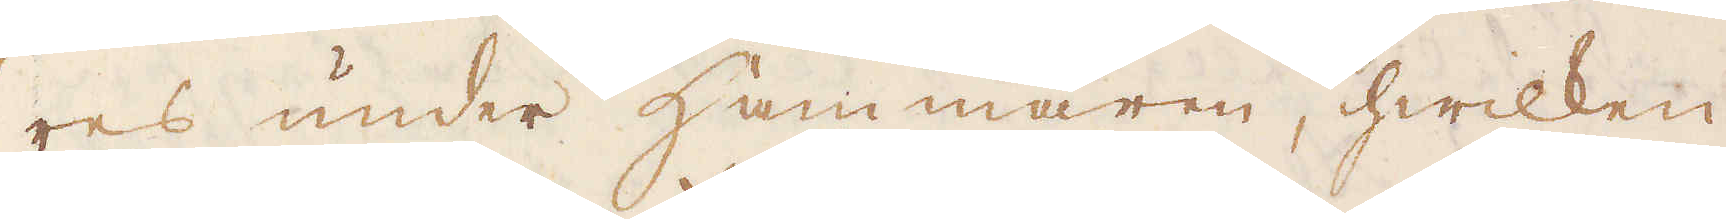res under Hammaren, hwilken
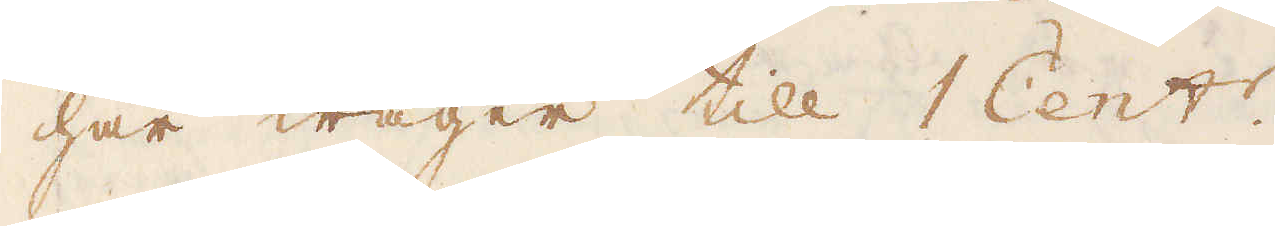här wäger till 1 Cent:r.
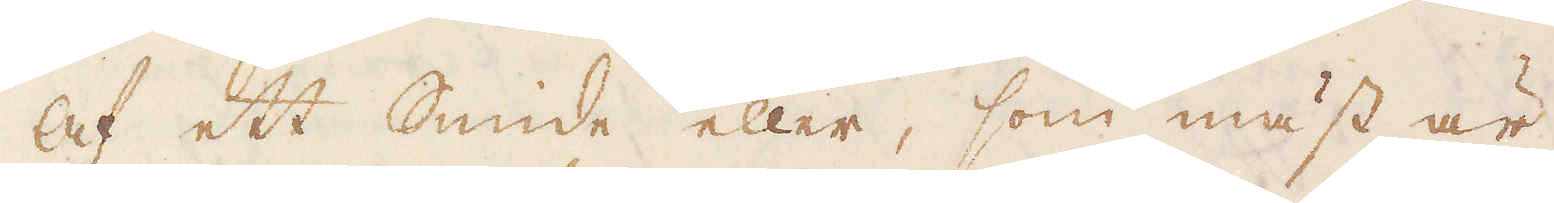Af ett Smide eller, som mäst är
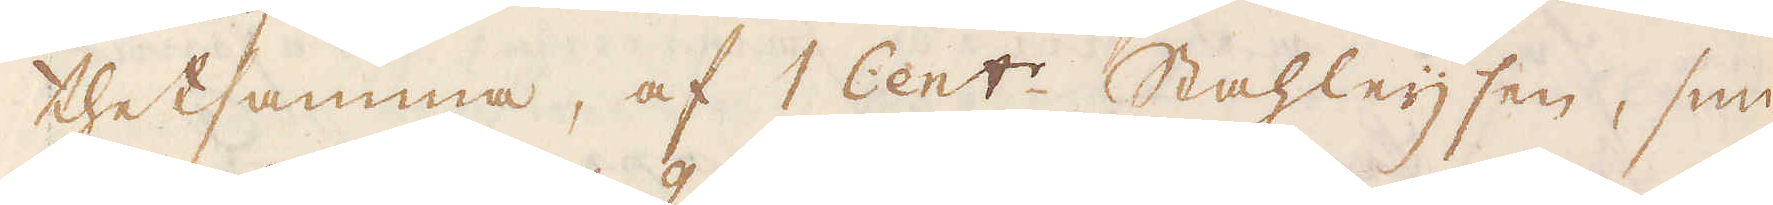thetsamma, af 1 Cent:r. Stahleijsen, smi-
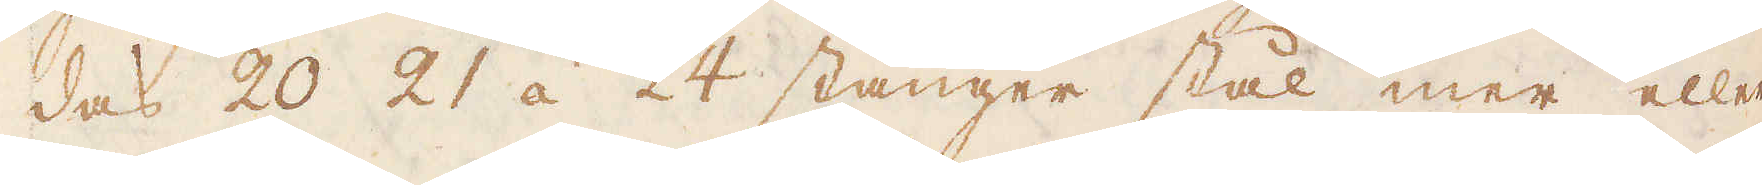des 20 21 á 24 stänger stål mer eller
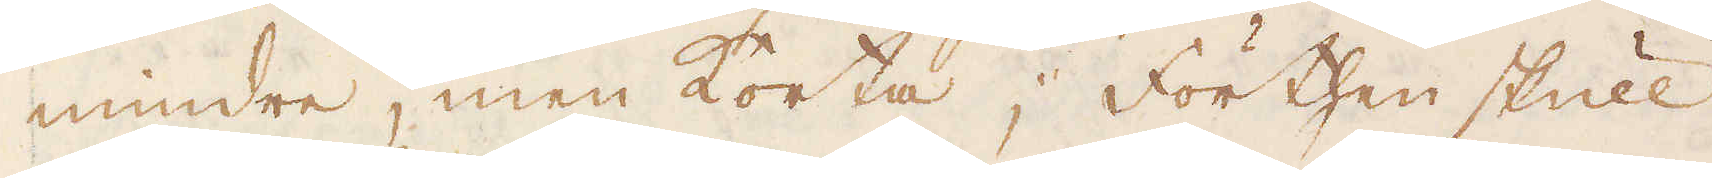mindre, men korta; förthenskull
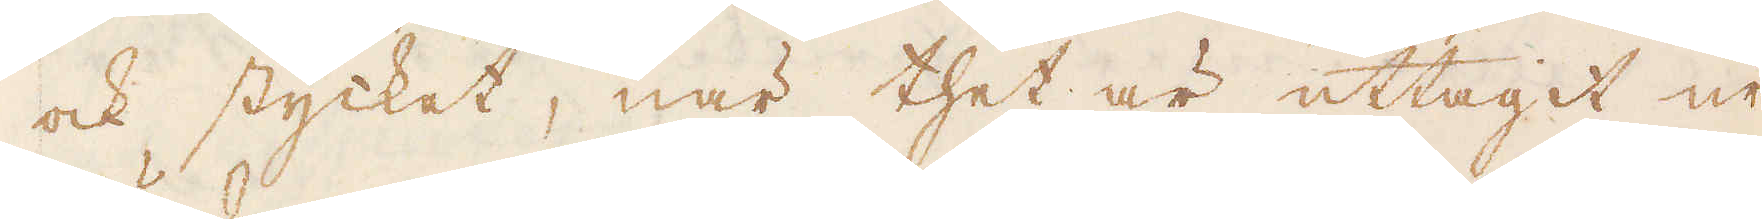och stycket, när thet är uttagit ur
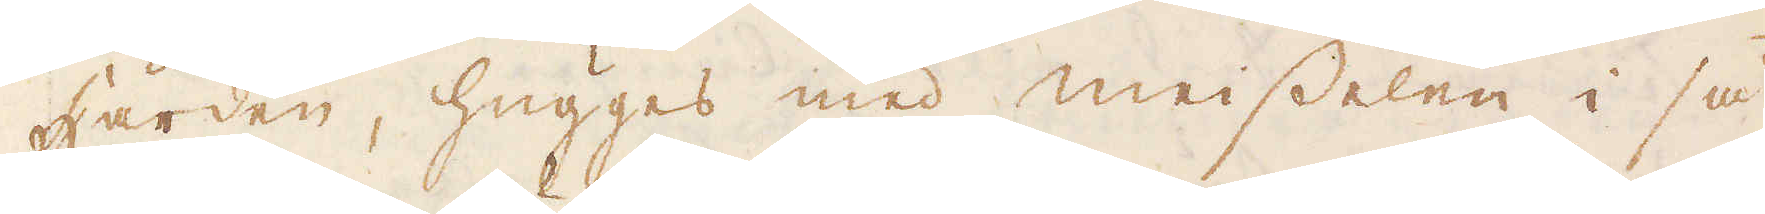Härden, hugges med meisselen i så
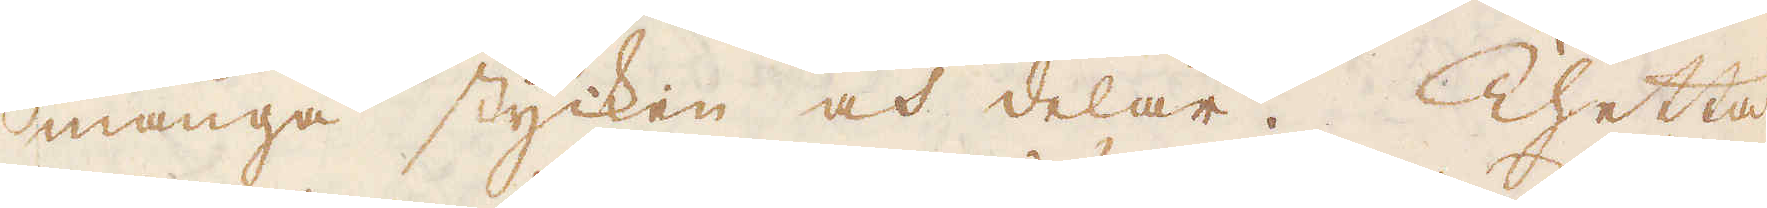många stycken och delar. Thetta
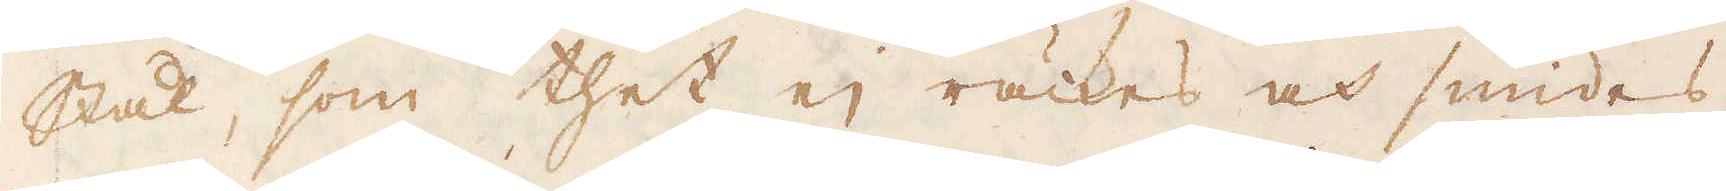Stål, som thet ej räckes och smides
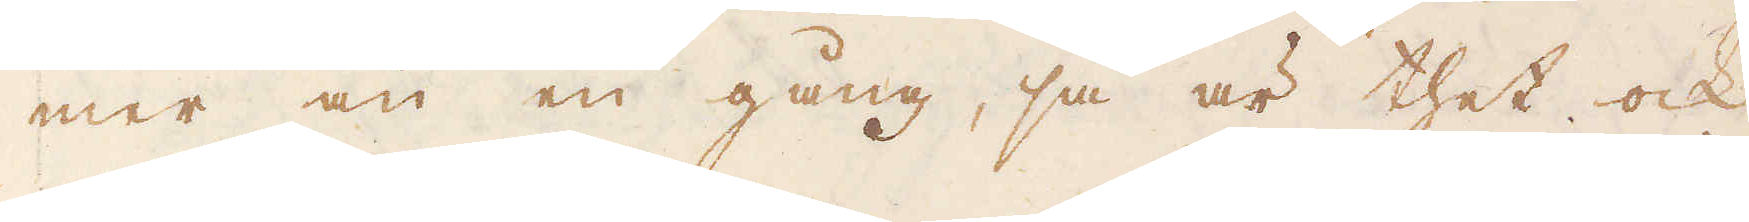mer än en gång, så är thet ock
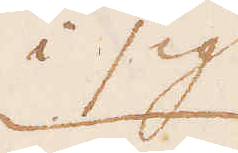i sig
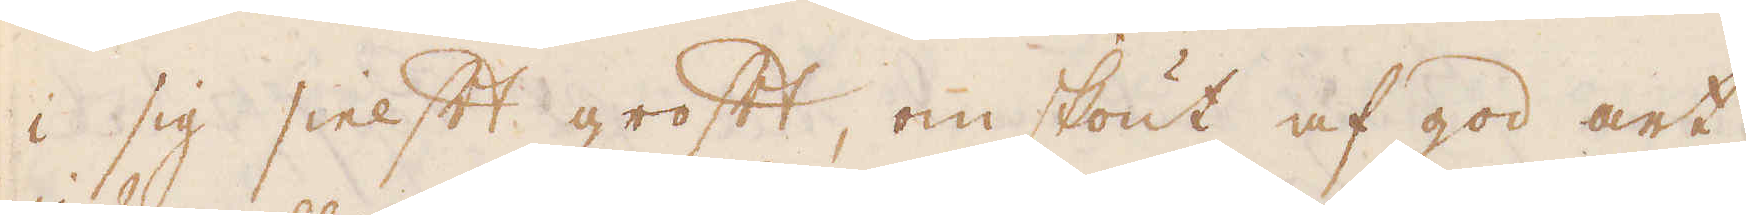i sig sielft groft, omskönt af god art.
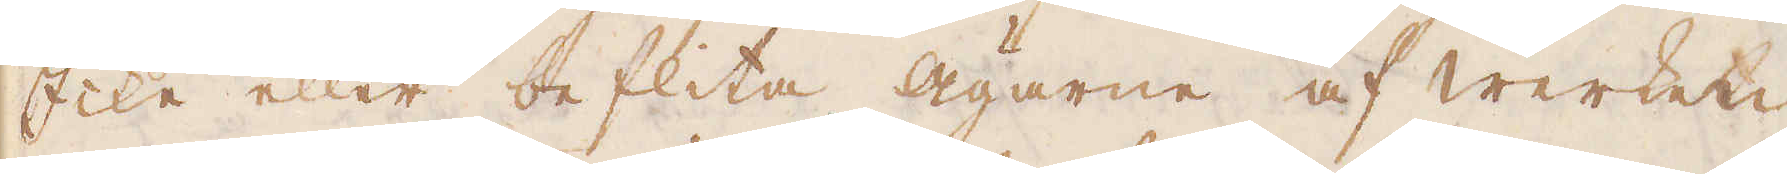Icke eller beflita Ägarne af Werket
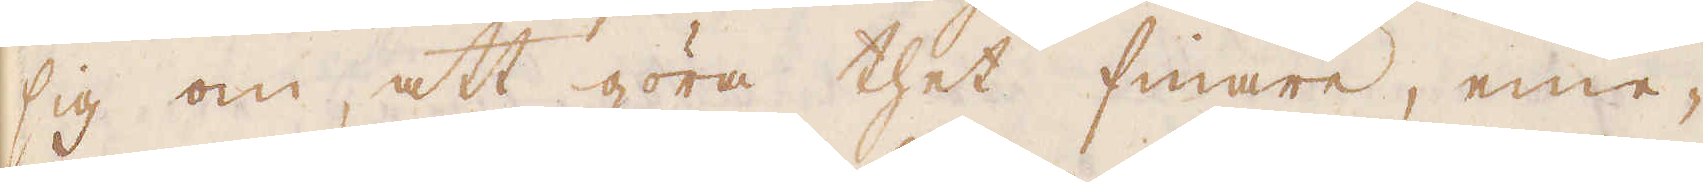sig om, att göra thet finare, eme-
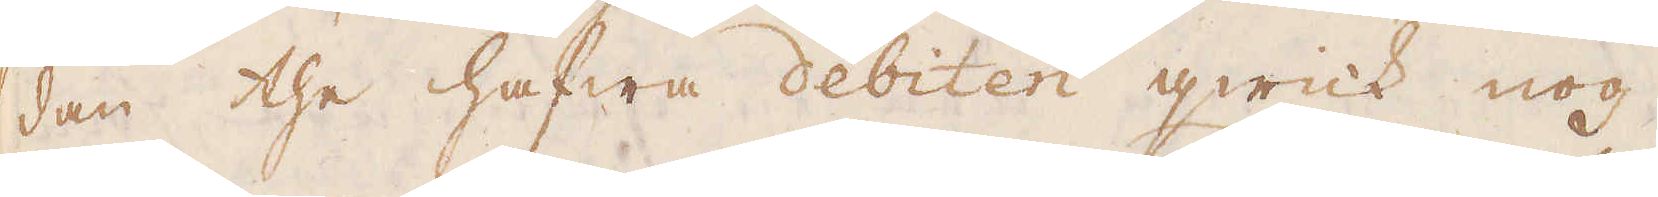dan the hafwa debiten qwick nog,
